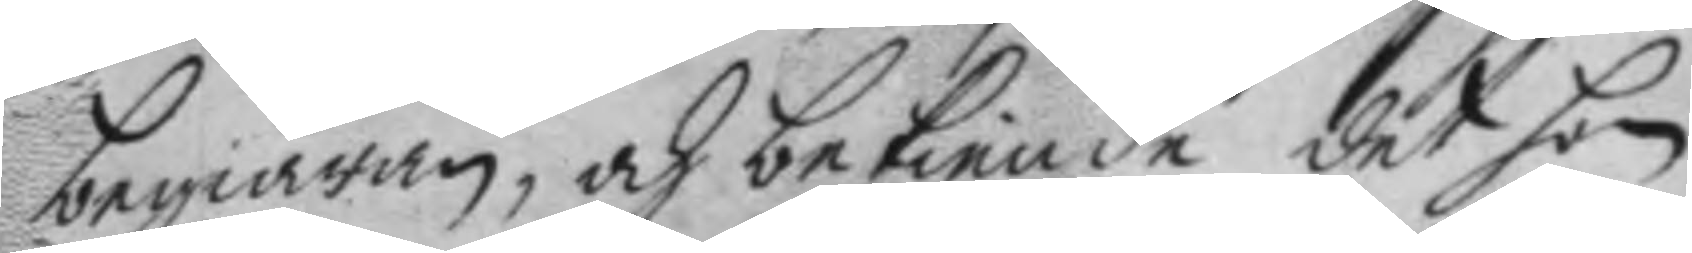begiäran, och bekiende det hon
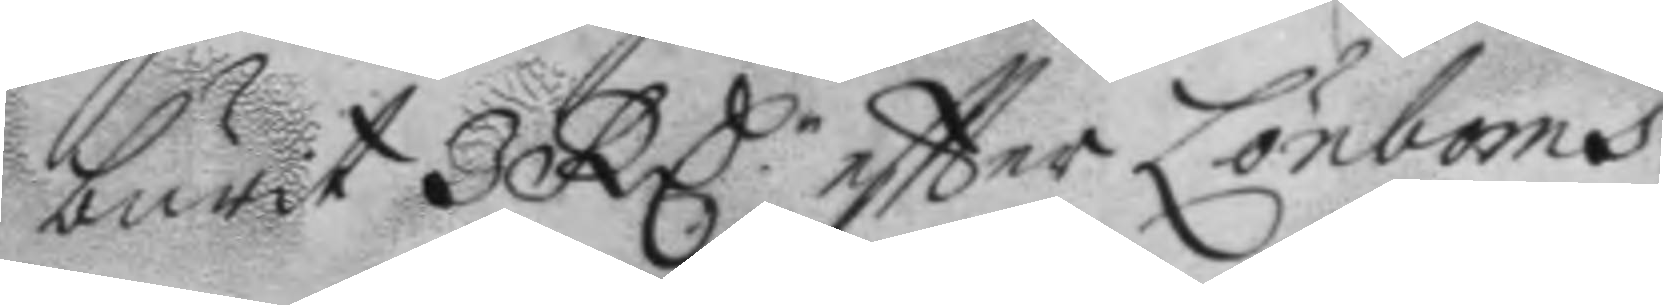burit 3 RC.r eftter Lönboms
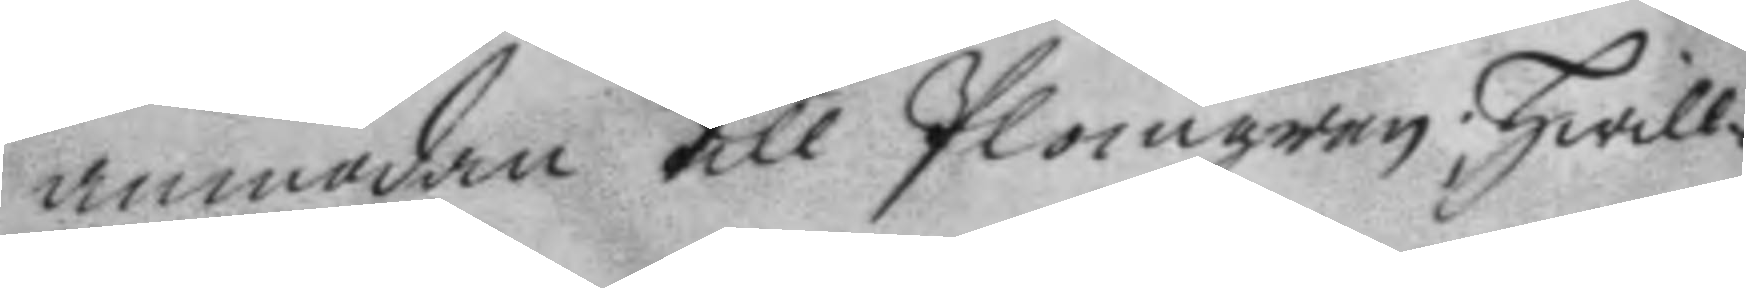anmodan till Plomgren; hwill¬
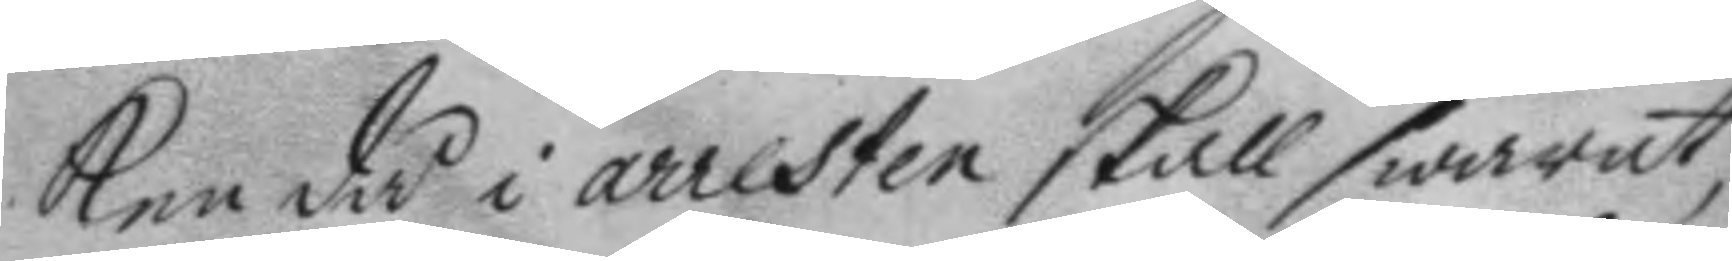ken då i arresten skall swarat
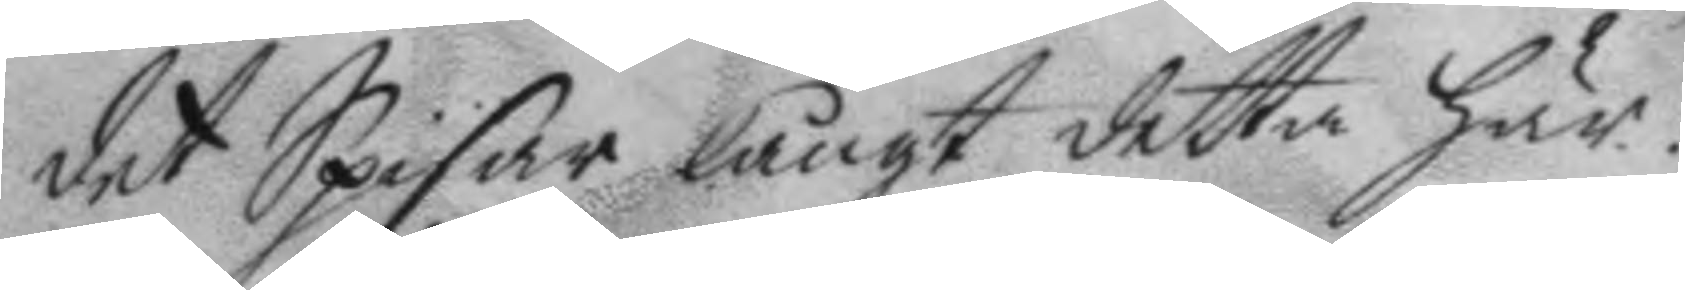det Spisar långt detta här:
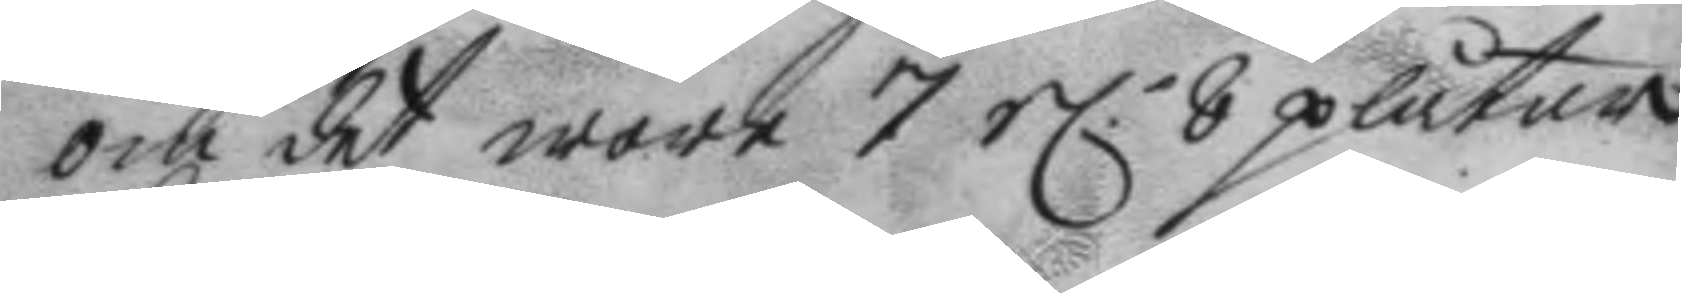om det wore 7 el.r 8 plåtar
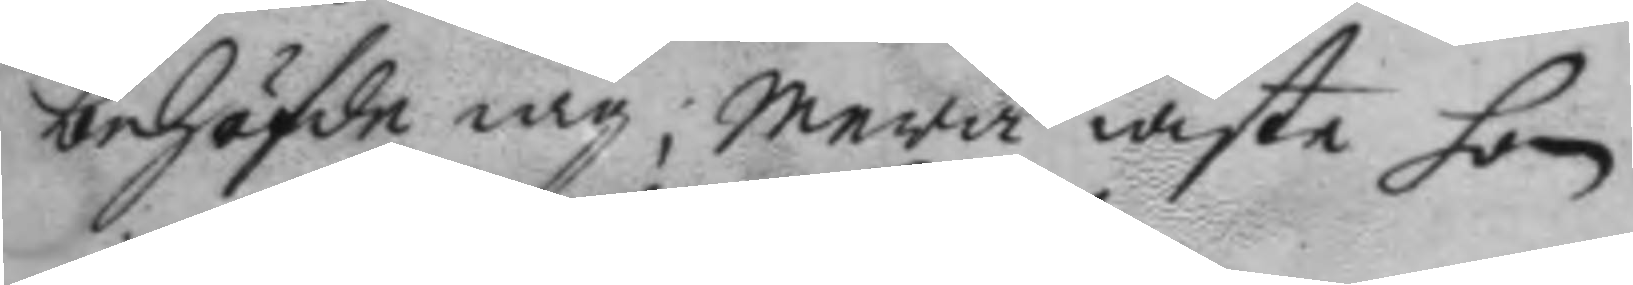behöfde iag; mera wiste hon
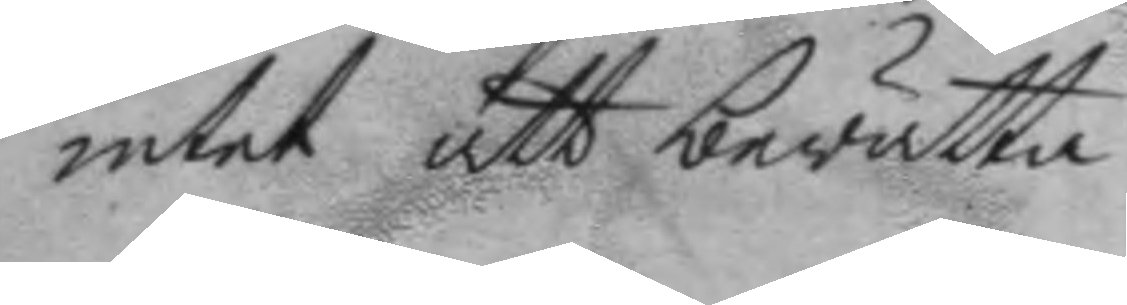intet att berätta.
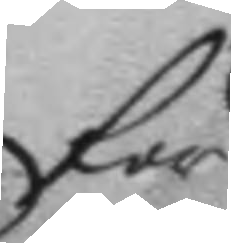för
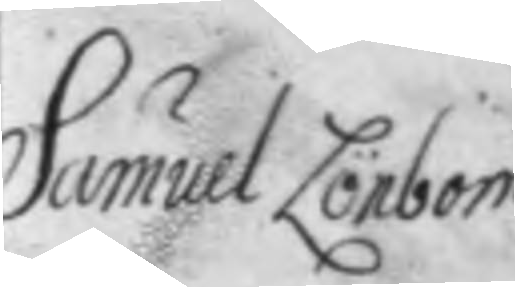Samuel Lönbom
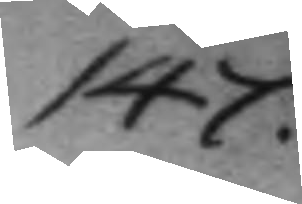147.
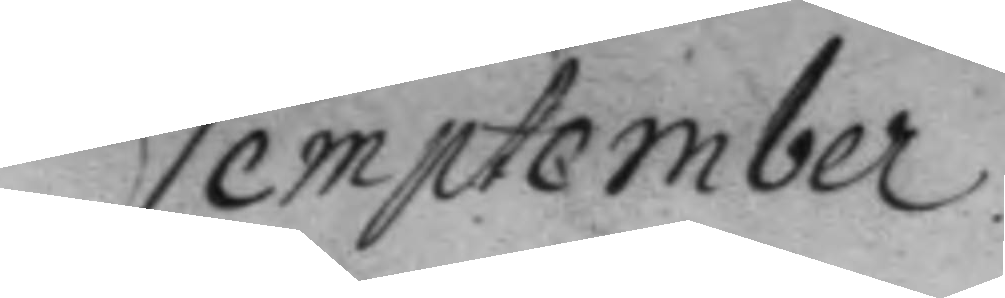September
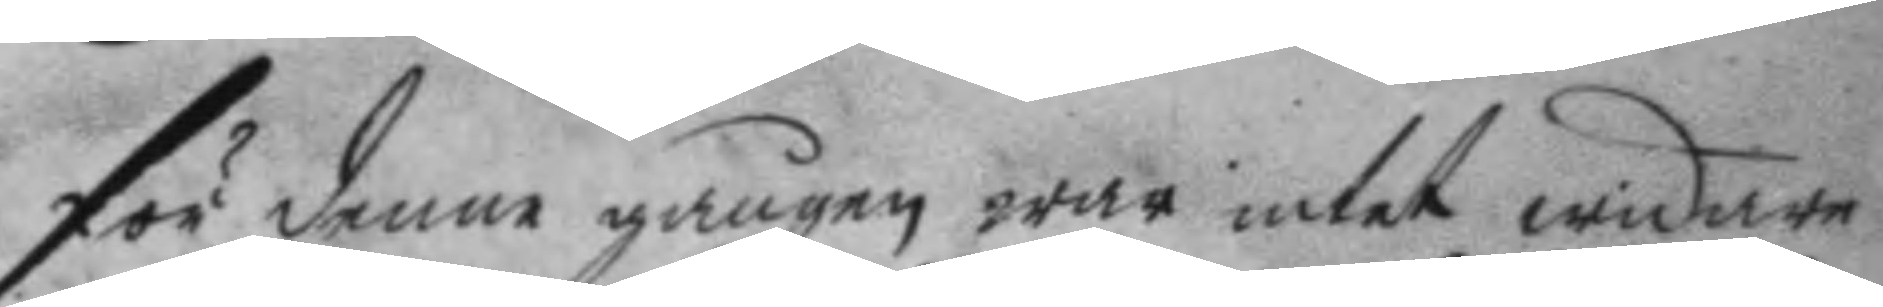för denne gången war intet widare
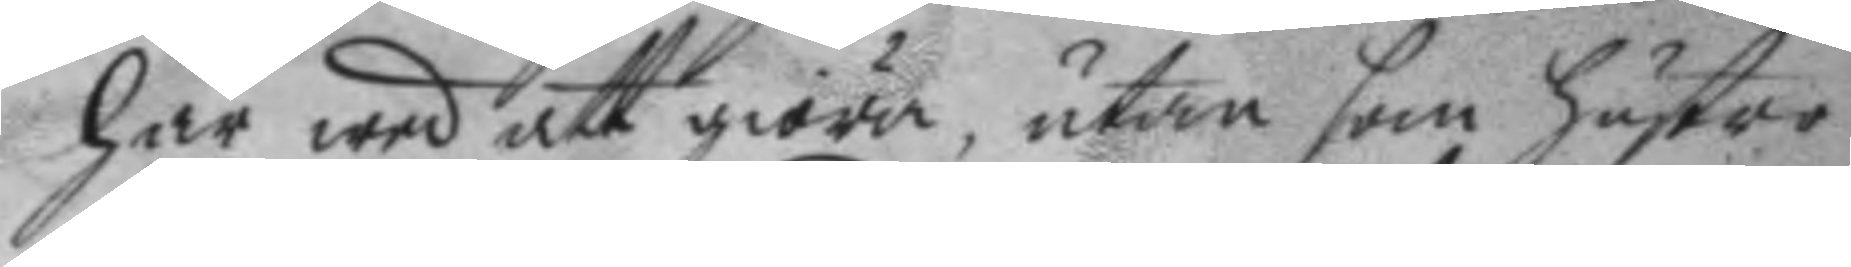här wed att giöra, utan som hustro
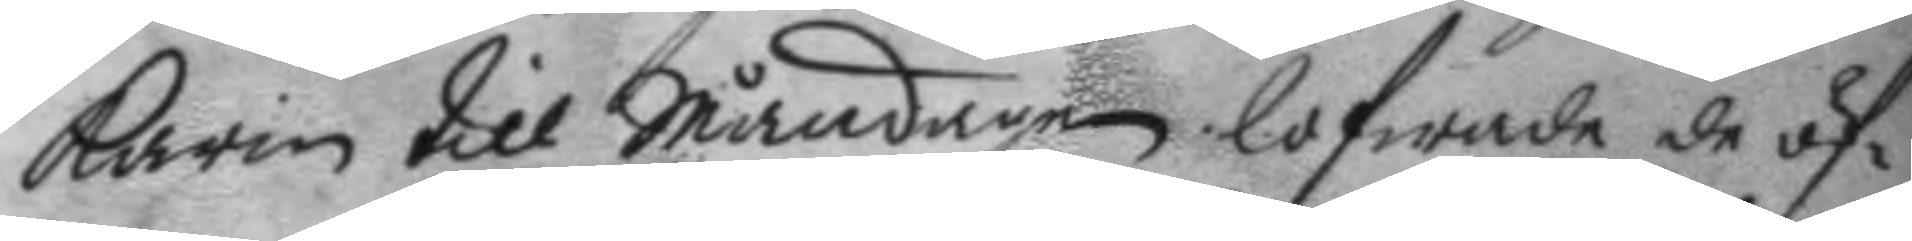Karin till Måndagen lofwade de öf¬
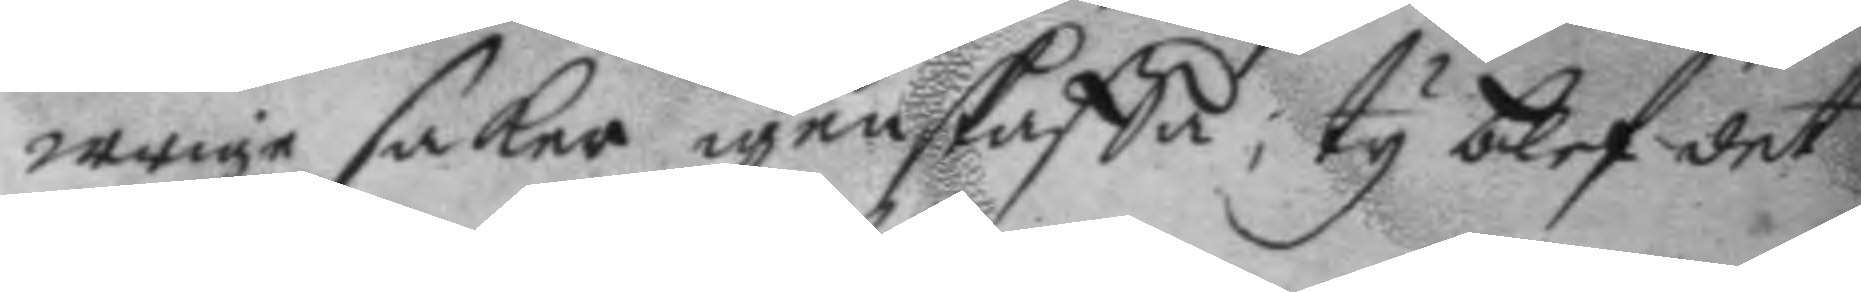wrige saker igenskaffa; ty blef det
